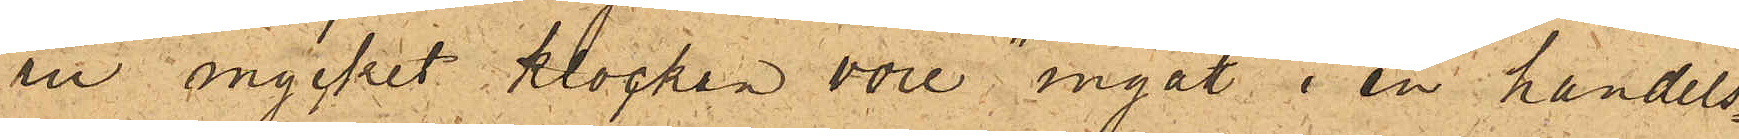ru mycket klockan vore, ingått i en handels¬
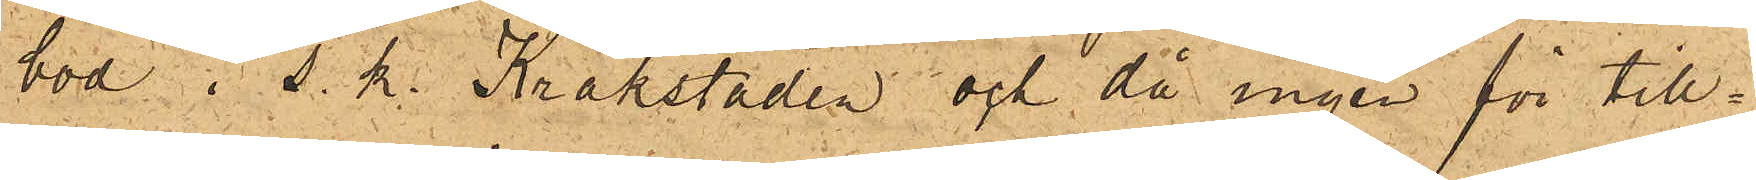bod i s. k. Kråkstaden och då ingen för till¬
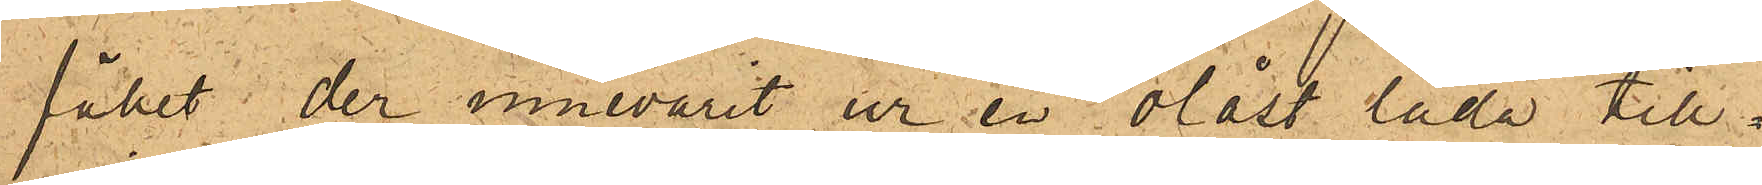fället der innevarit ur en olåst låda till¬
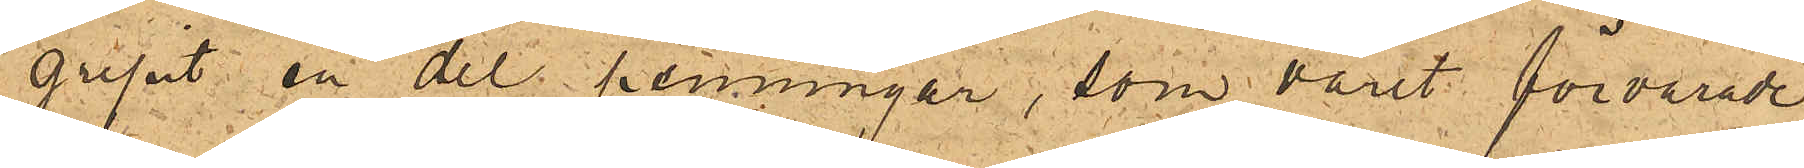gripit en del penningar, som varit förvarade
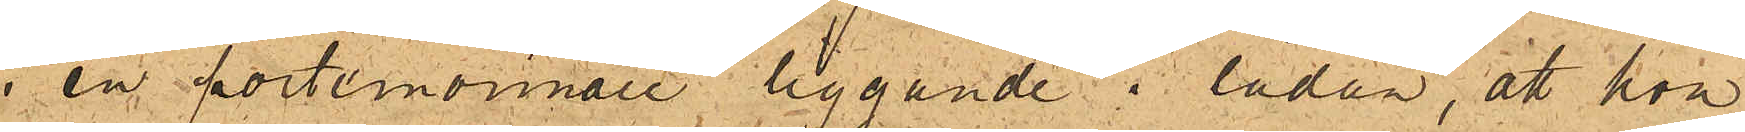i en portemonnaie liggande i lådan, att hon
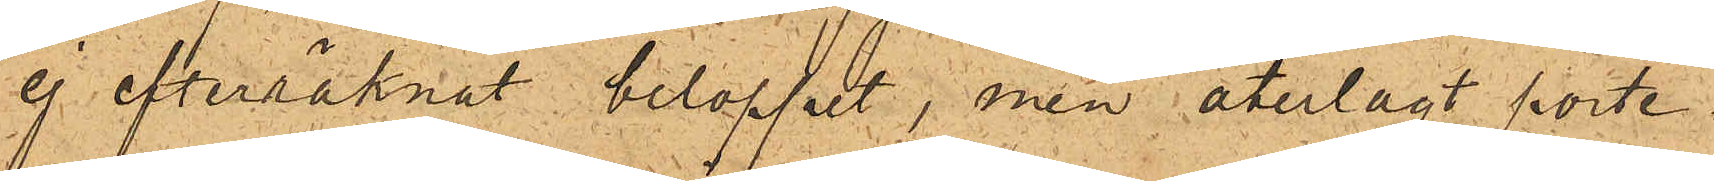ej efterräknat beloppet, men återlagt porte¬
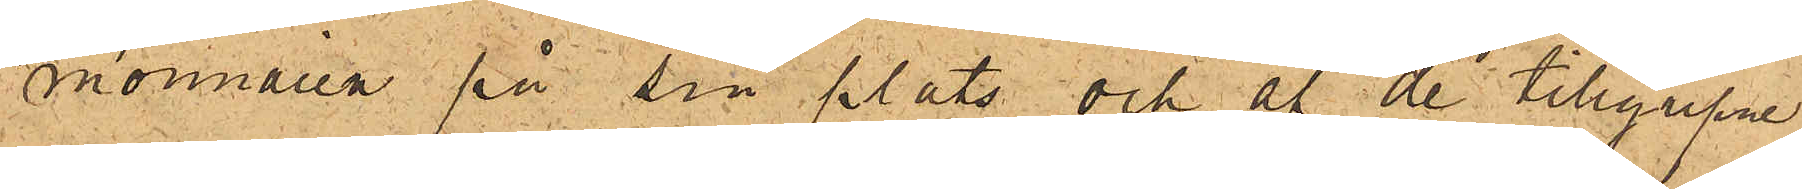monnaien på sin plats och af de tillgripne
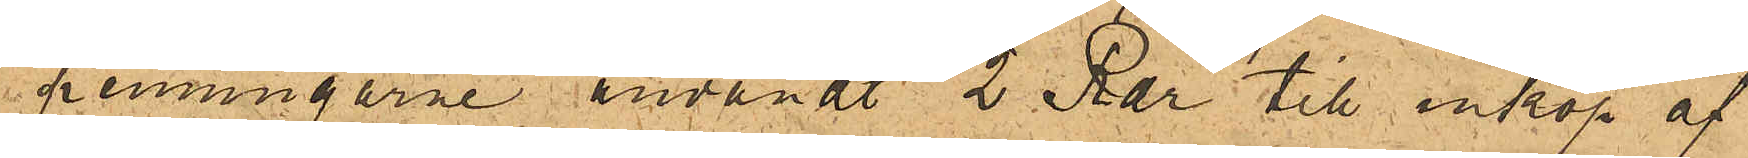penningarne användt 2 Rdr till inköp af
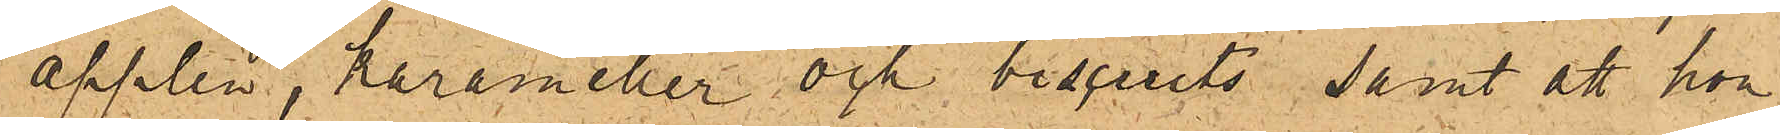äpplen, karameller och biscuits samt att hon
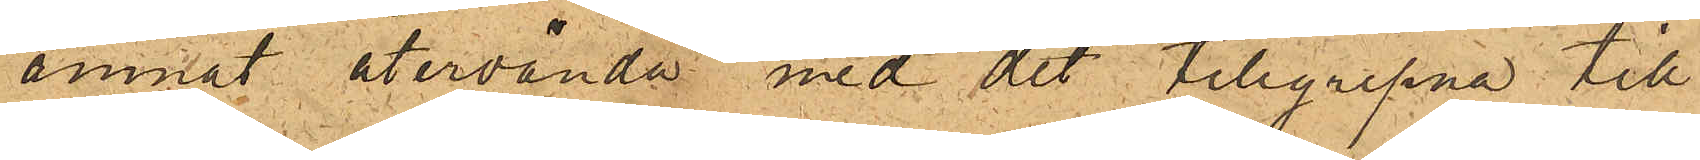ämnat återvända med det tillgripna till
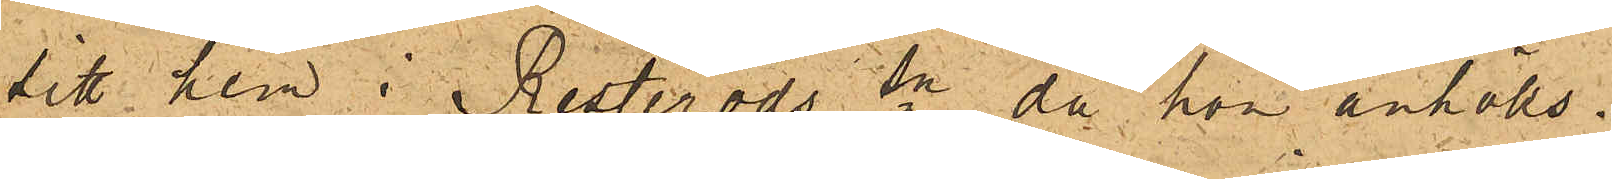sitt hem i Resteröds sn, då hon anhölls.
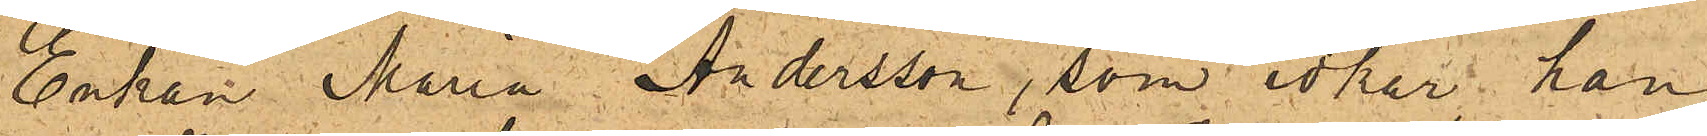Enkan Maria Andersson, som idkar han¬
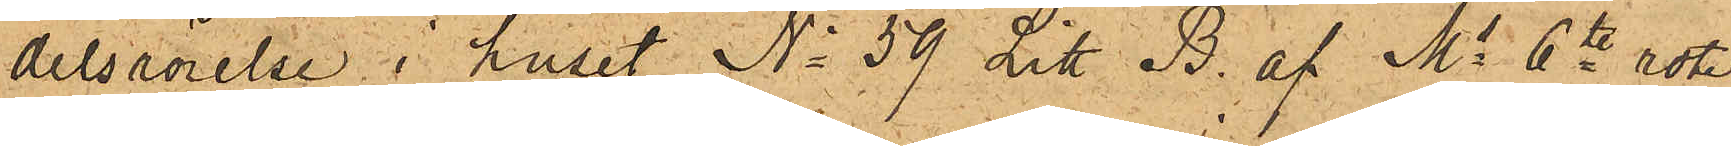delsrörelse i huset No 59 Litt B. af Ms 6te rote
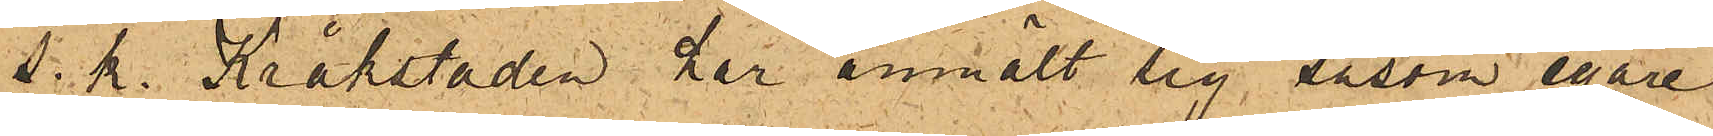s. k. Kråkstaden har anmält sig såsom egare
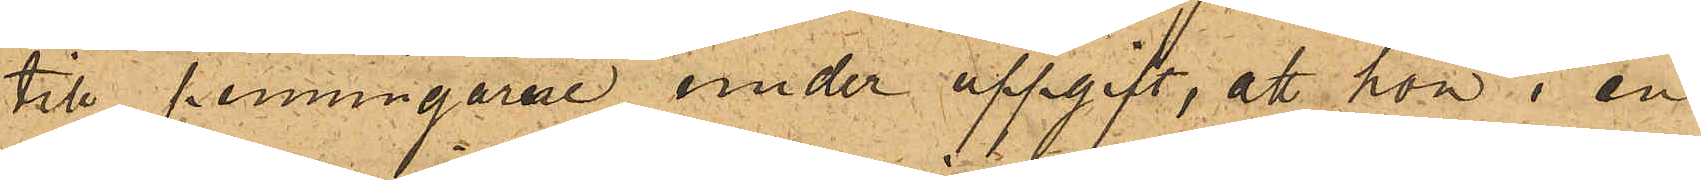till penningarne under uppgift, att hon i en
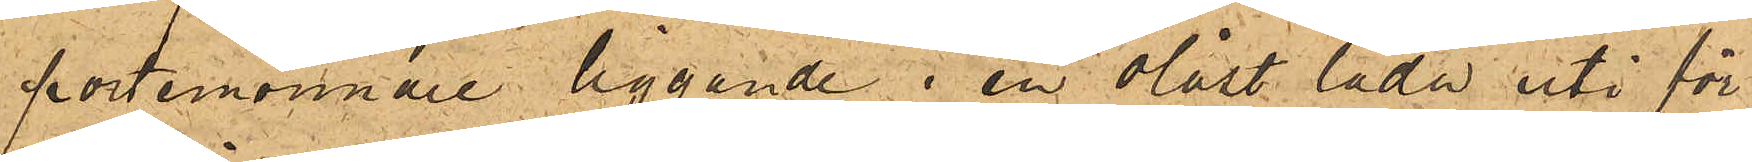portemonnaie liggande i en olåst låda uti för¬
